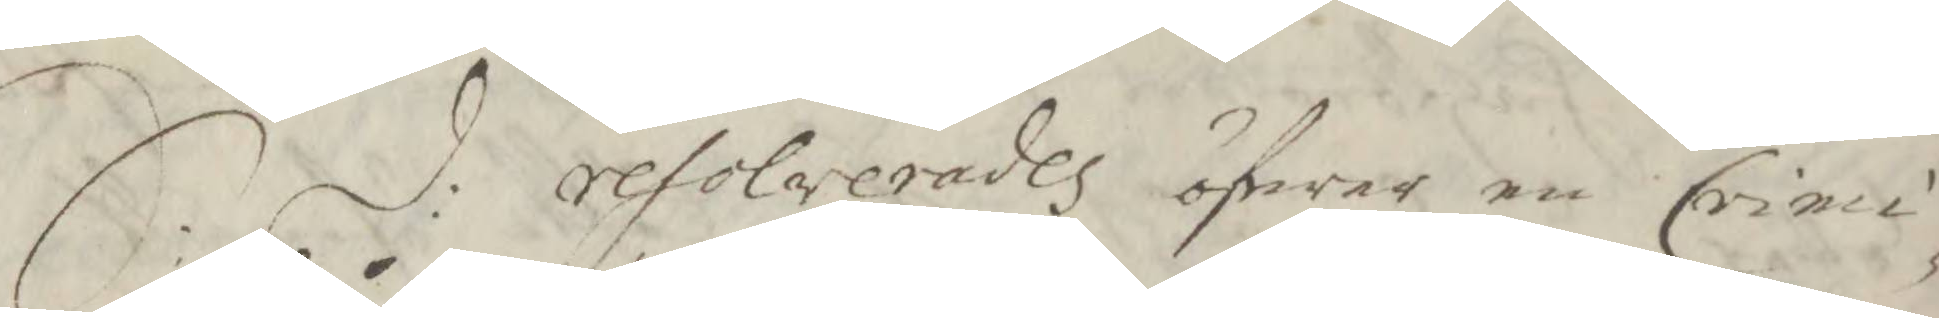S. d: resolverades öfwer en Crimi¬
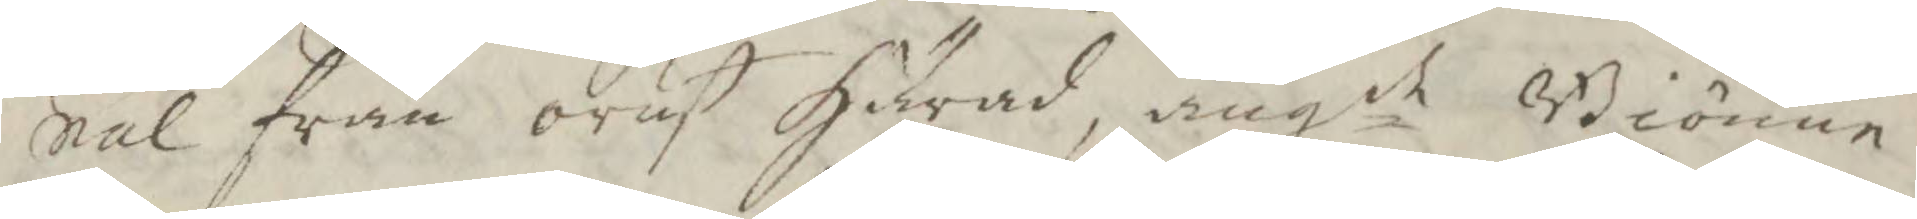nal från orust Härad, angde Biörnen
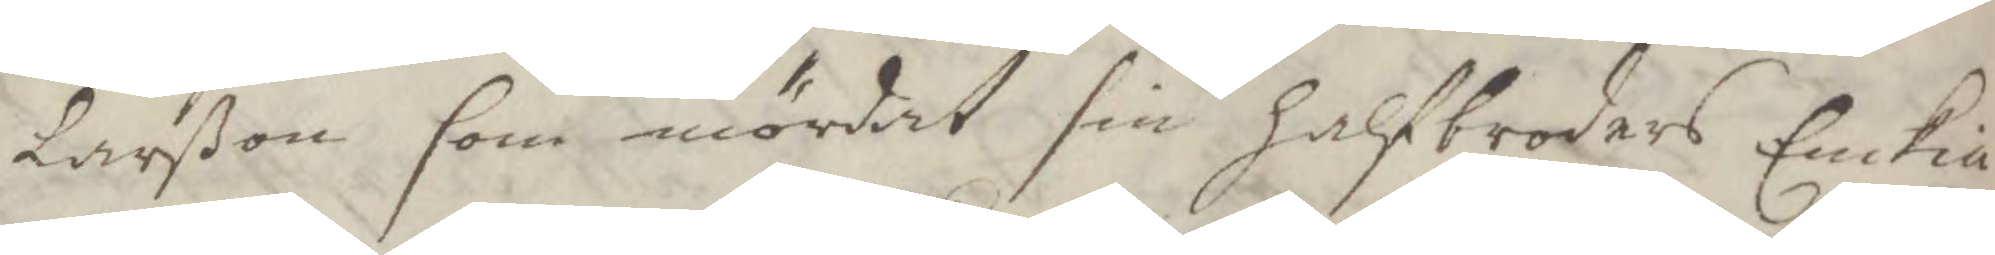Larßon som mördat sin halfbroders Enckia
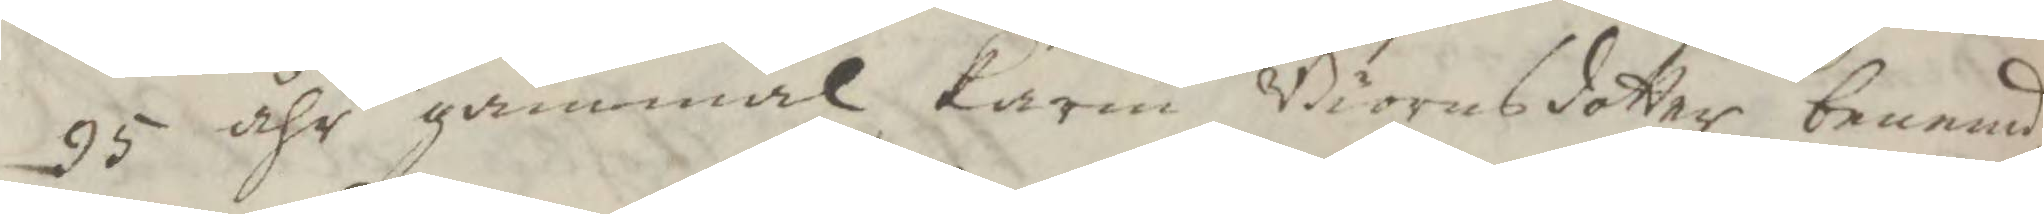95 åhr gammal Karin Biörnsdotter benemd,
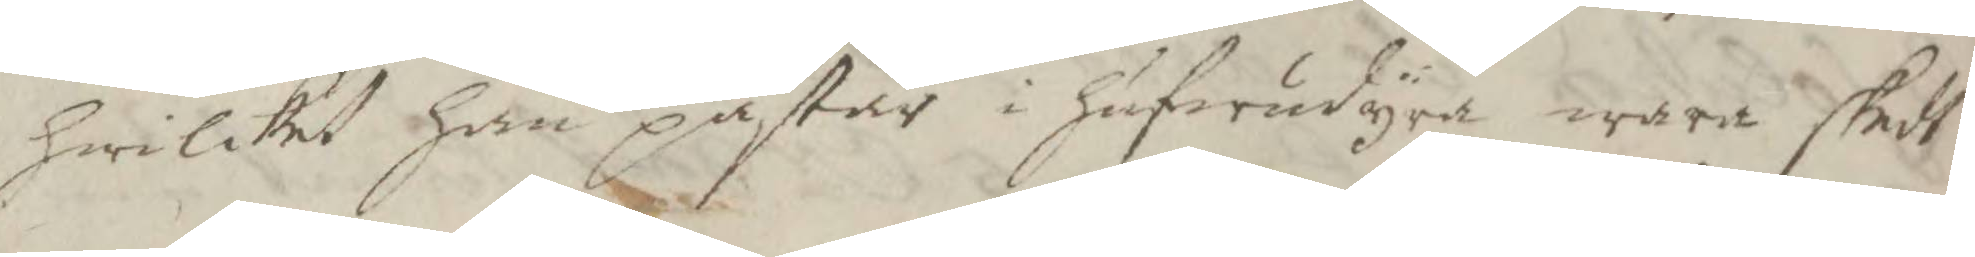hwilket han påstår i hufwudyra wara skedt,
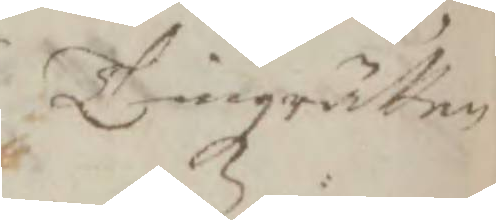Tingzrätten
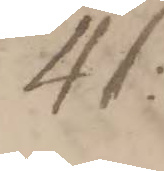41:
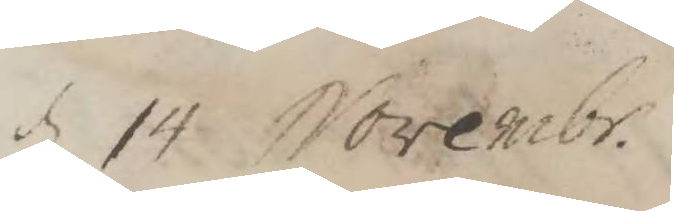d 14 Novembr.
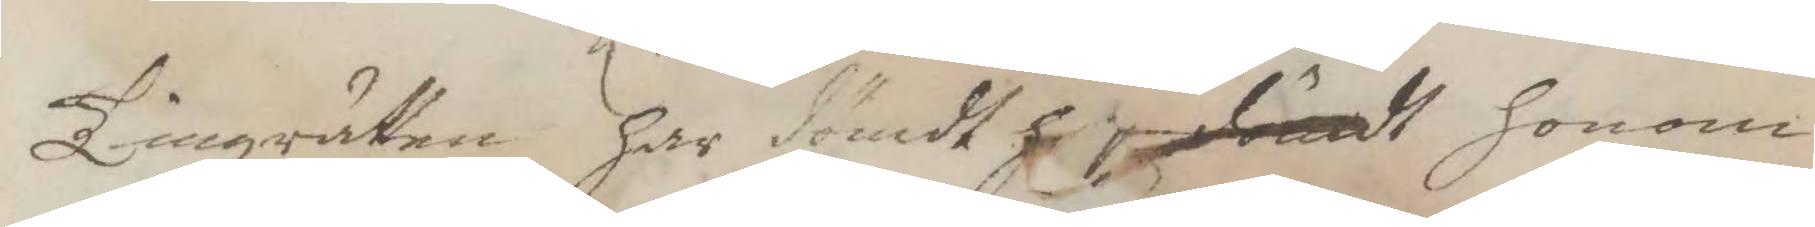Tingzrätten har dömdt dömdt honom
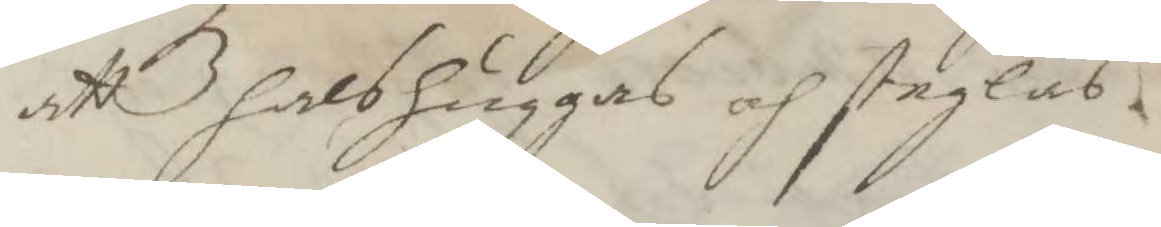att halshuggas och steglas,
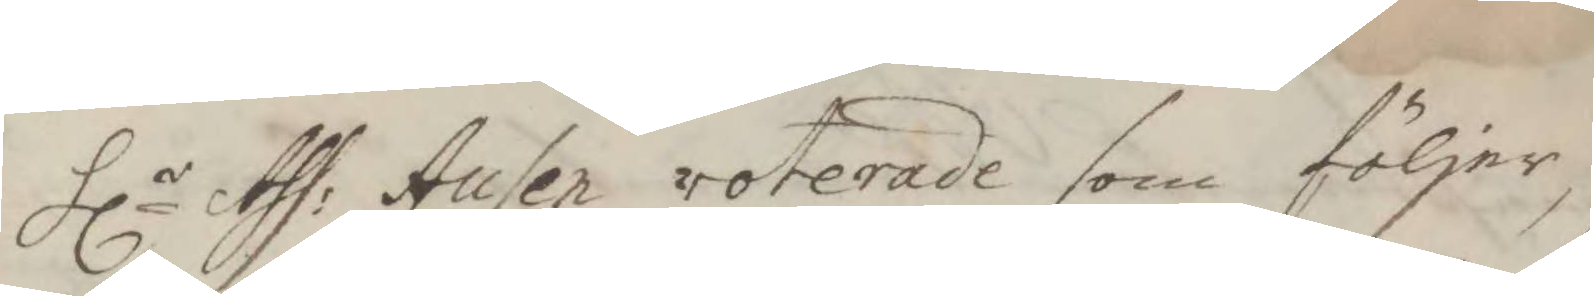Hlr Ass: Ausen voterade som följer,
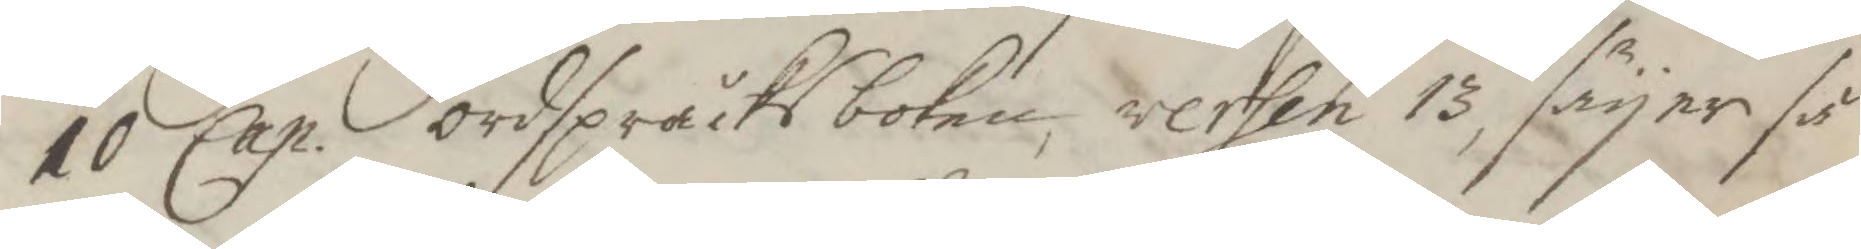10 Cap. ordspråksboken, versen 13, säyer så
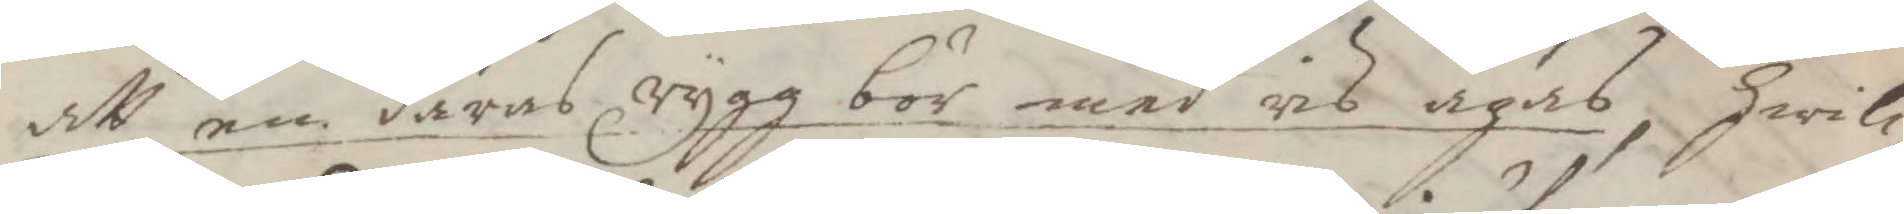att en dåres rygg bör med ris agas, hwil¬
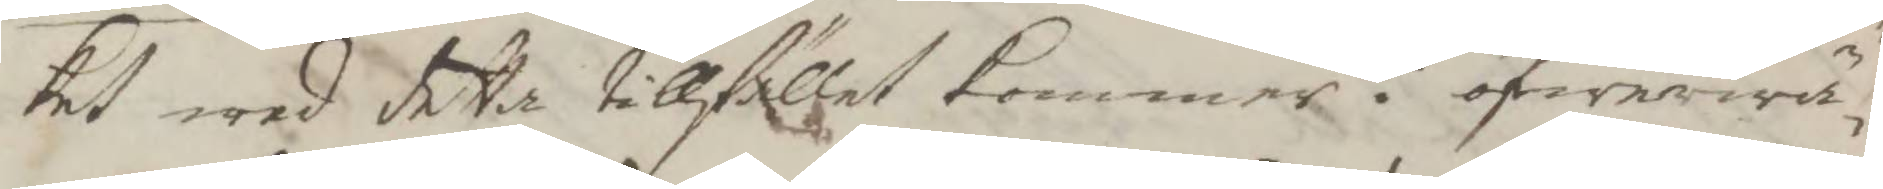ket wed detta tillfället kommer i öfwerwä¬
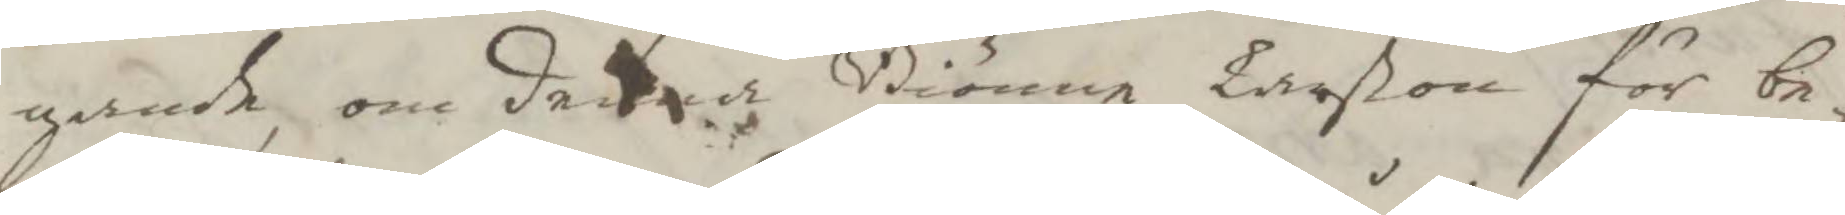gande, om denna Biörnen Larßon för be¬
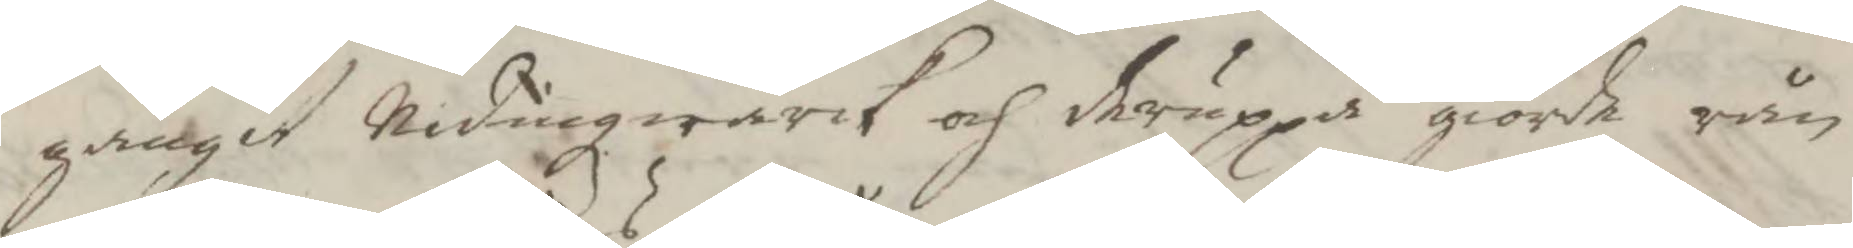gångit Nidingzwärk och dråp på giorde rån
